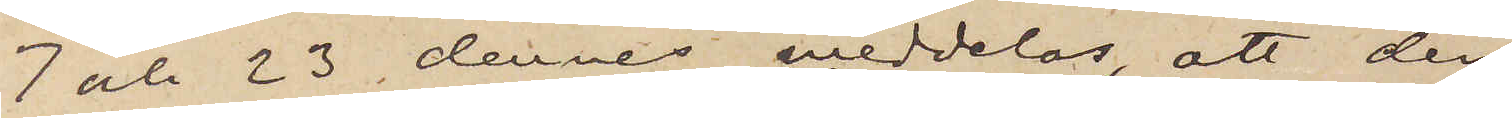7 och 23 dennes meddelas, att den
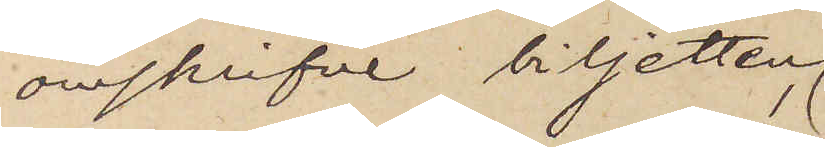omskrifne biljetten,
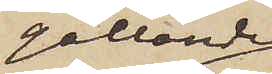gällande
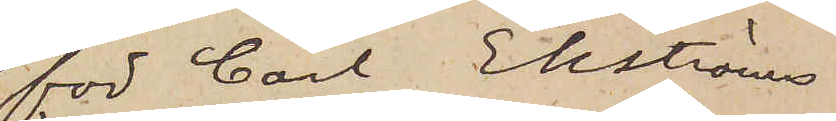för Carl Ekströms
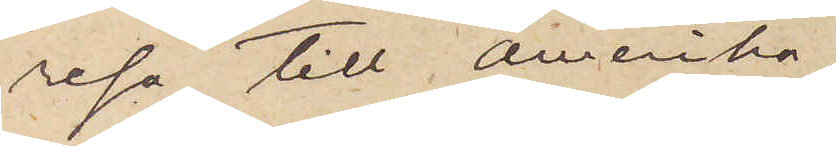resa till Amerika,
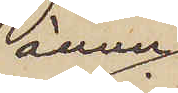ännu
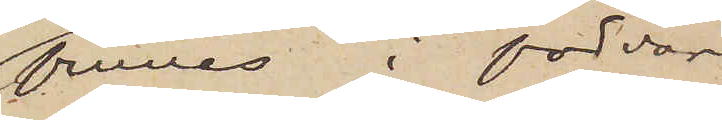finnes i förvar
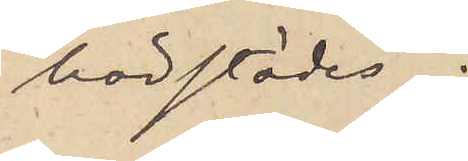härstädes;
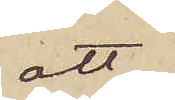att
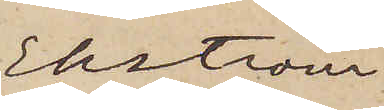Ekström
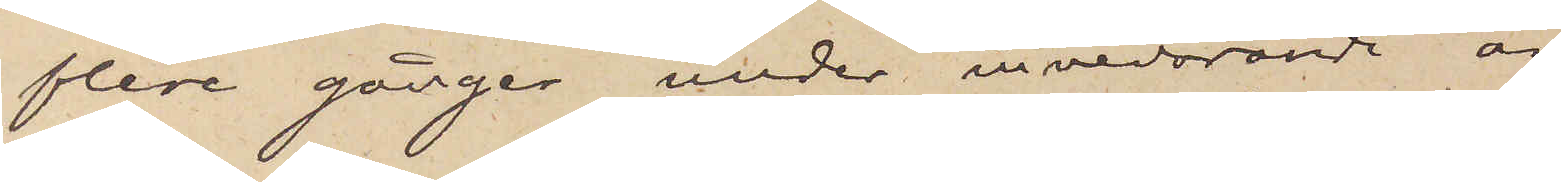flere gånger under innevarande år
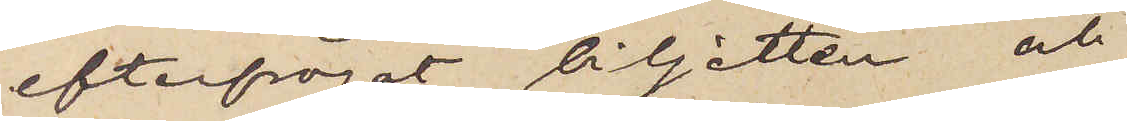efterfrågat biljetten och
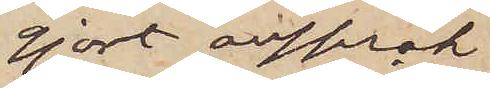gjort anspråk
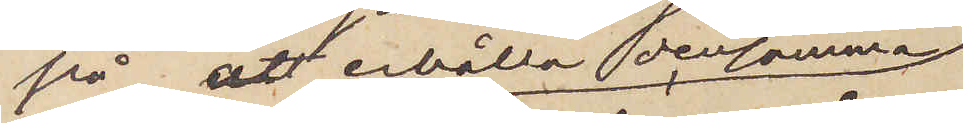på att erhålla densamma
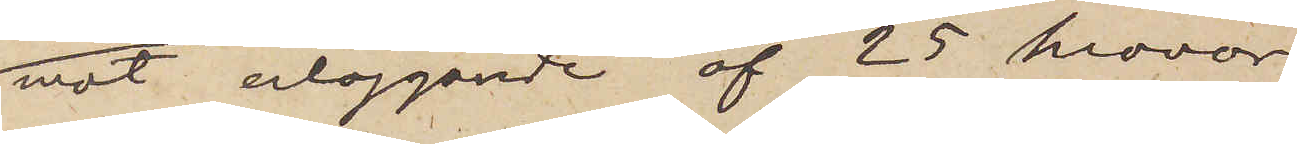mot erläggande af 25 kronor,
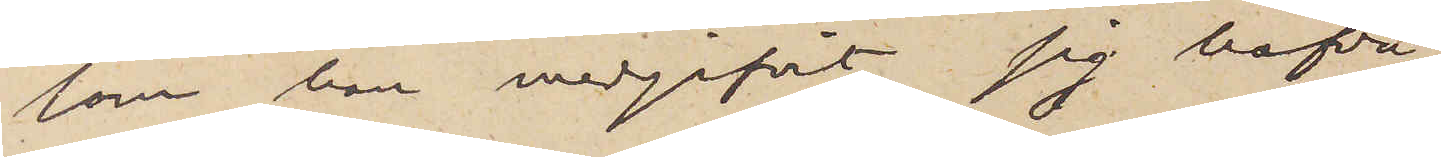som han medgifvit sig hafva
